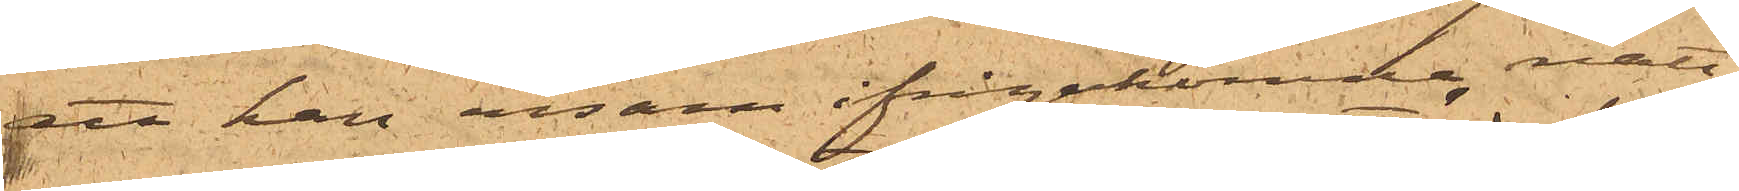att han ensam ifrågakomne natt
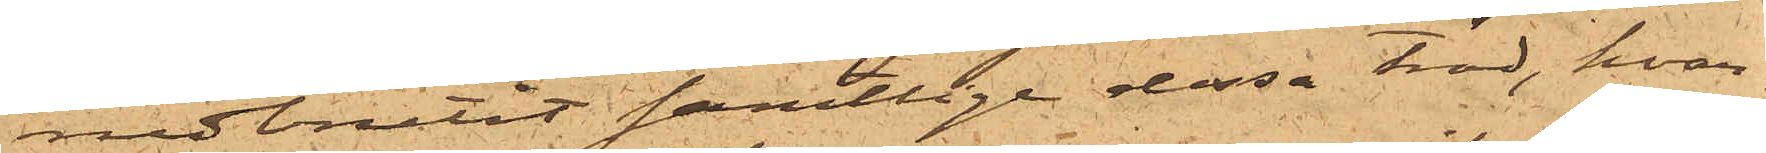nedbrutit samtlige dessa träd, hvar¬
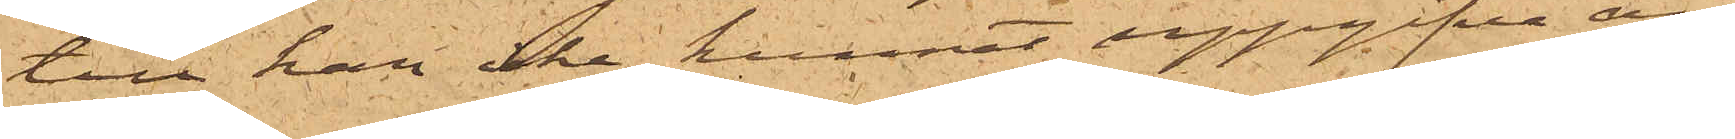till han icke kunnat uppgifva an¬
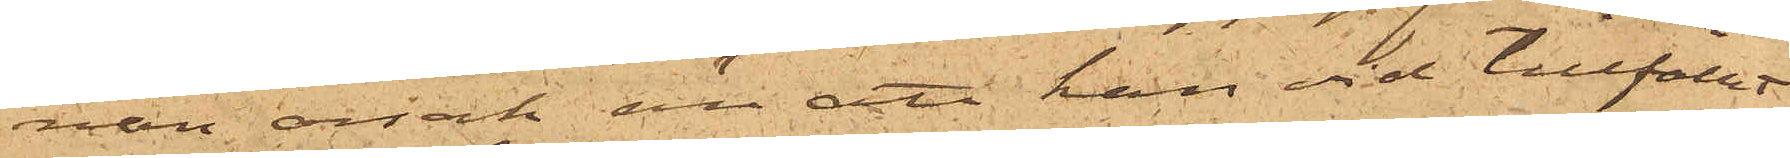nan orsak än att han vid tillfället
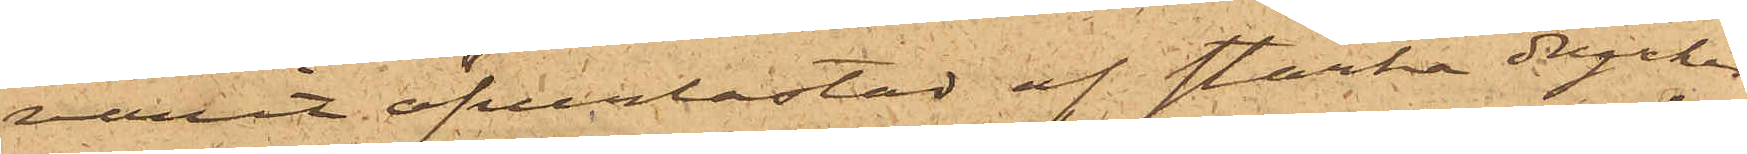varit öfverlastad af starka drycker
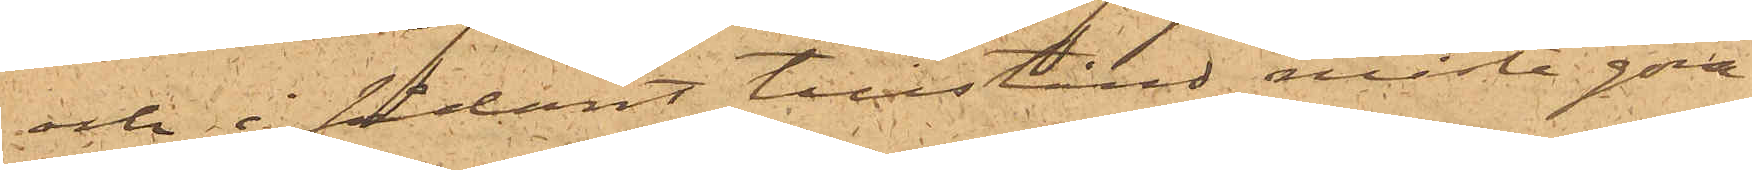och i sådant tillstånd måste göra
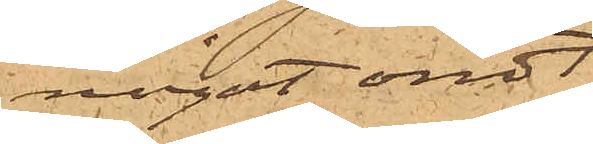något ondt.
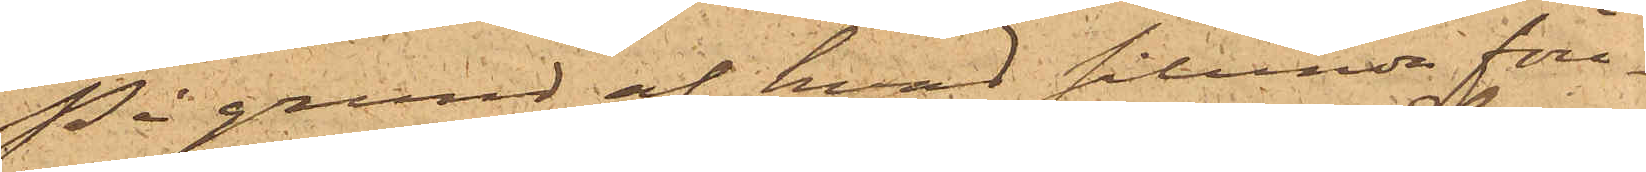På grund af hvad sålunda före¬
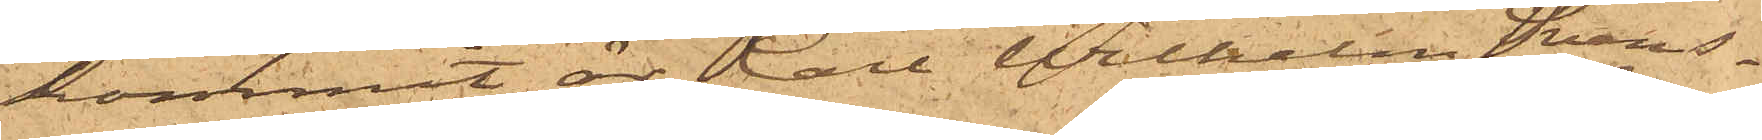kommit, är Carl Wilhelm Svens¬
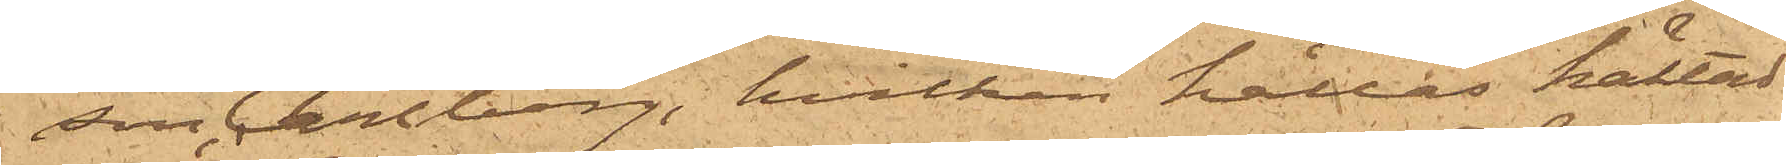son Carlberg, hvilken hålles häktad
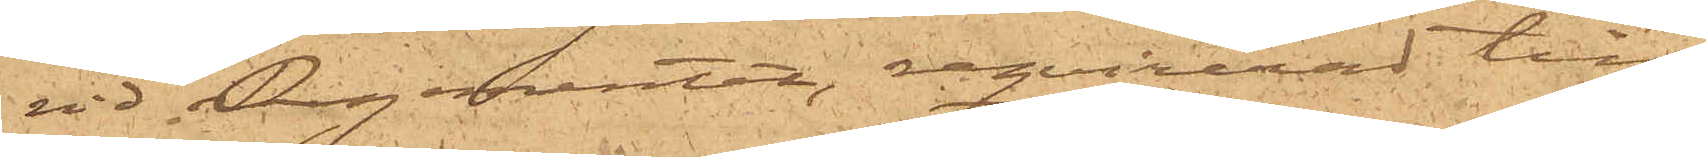vid Regementet, reqvirerad till
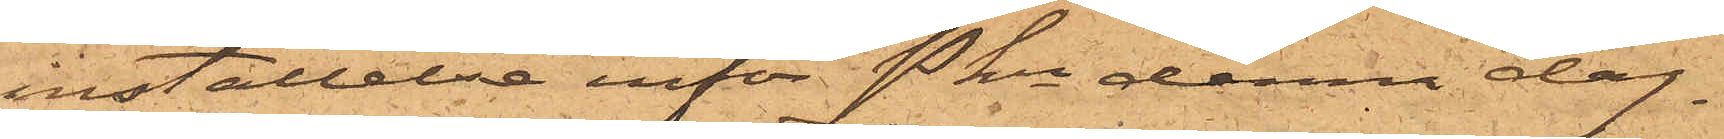inställelse inför Pkn denna dag.
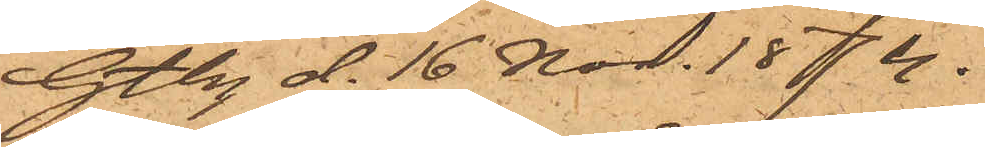Gtbg d. 16 Nov 1874
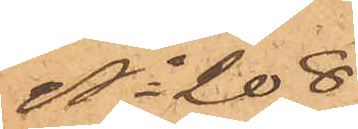No 208
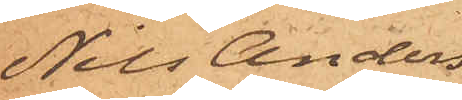Nils Anders¬
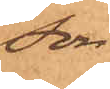son
